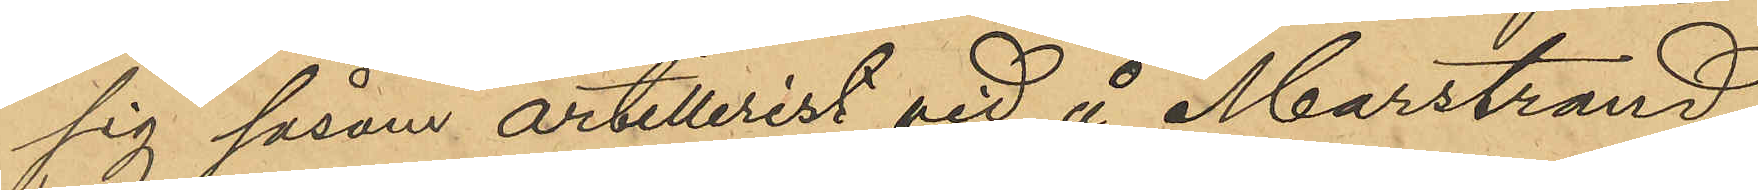sig såsom artillerist vid å Marstrand
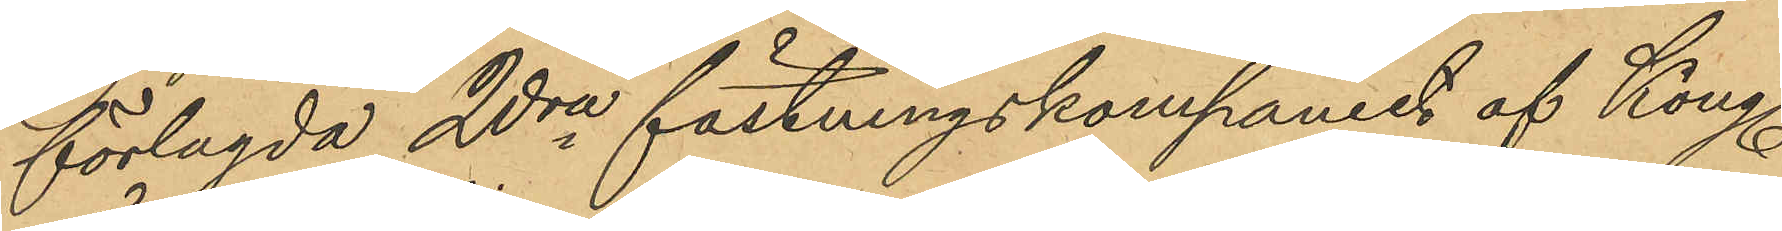förlagda 2dra fästningskompaniet af Kongl.
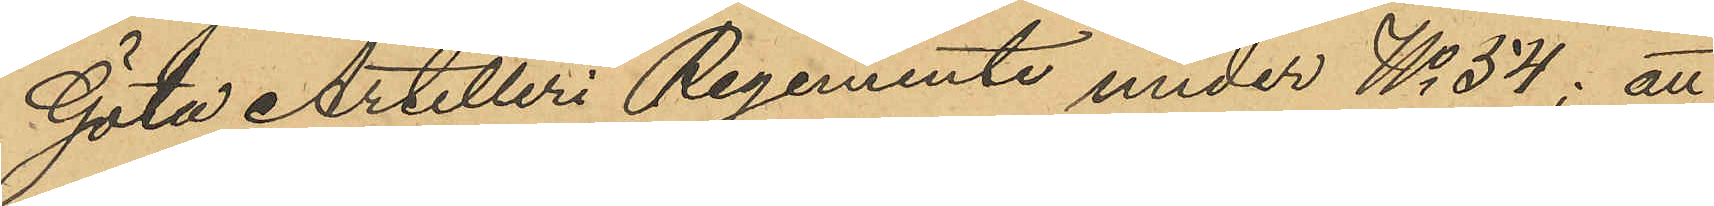Göta Artilleri Regemente under No 54; att
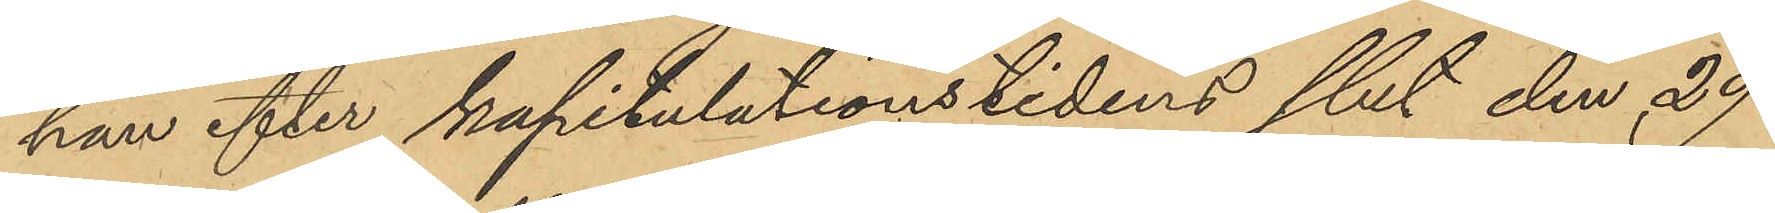han efter kapitulationstidens slut den 29
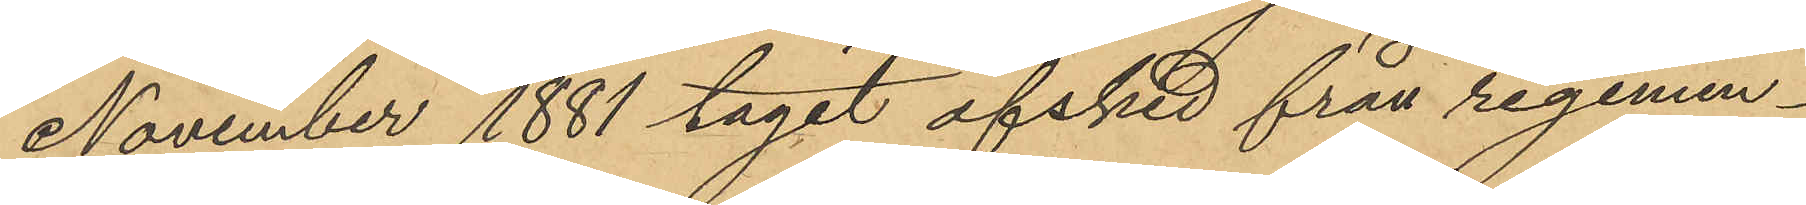November 1881 tagit afsked från regemen¬
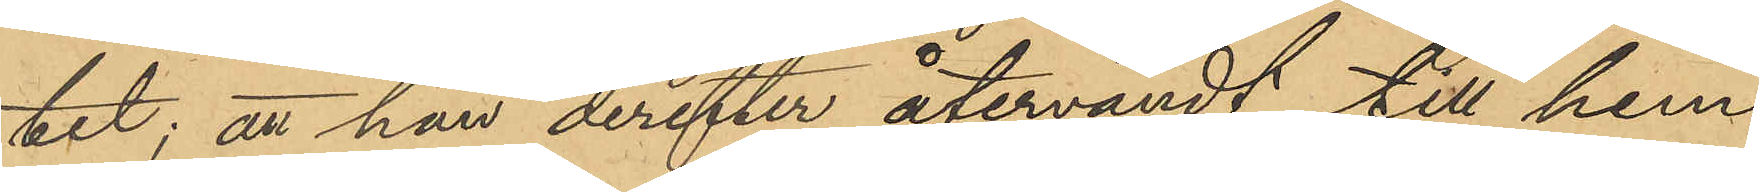tet; att han derefter återvändt till hem¬
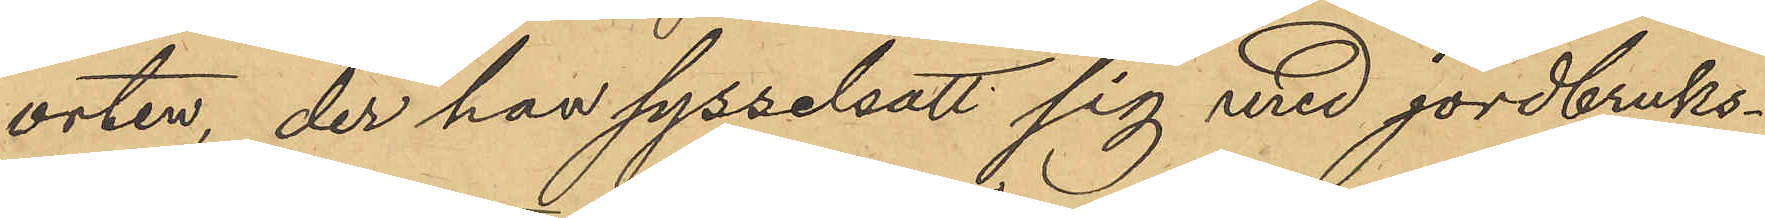orten, der han sysselsatt sig med jordbruks¬
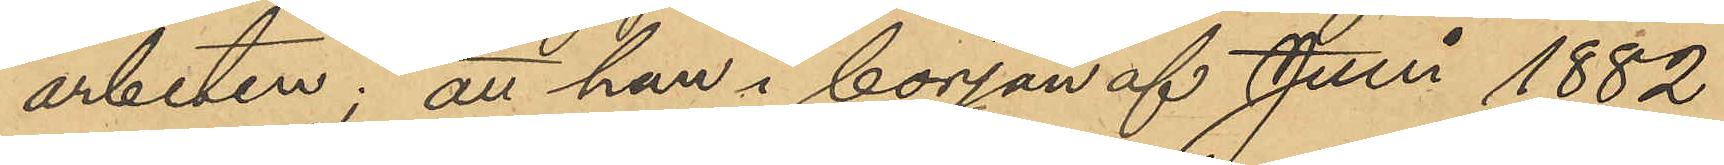arbeten; att han i början af Juni 1882
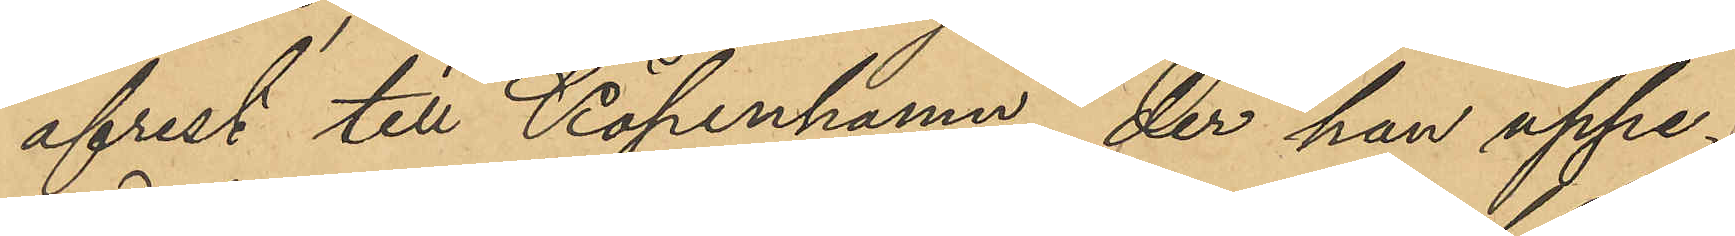afrest till Köpenhamn, der han uppe¬
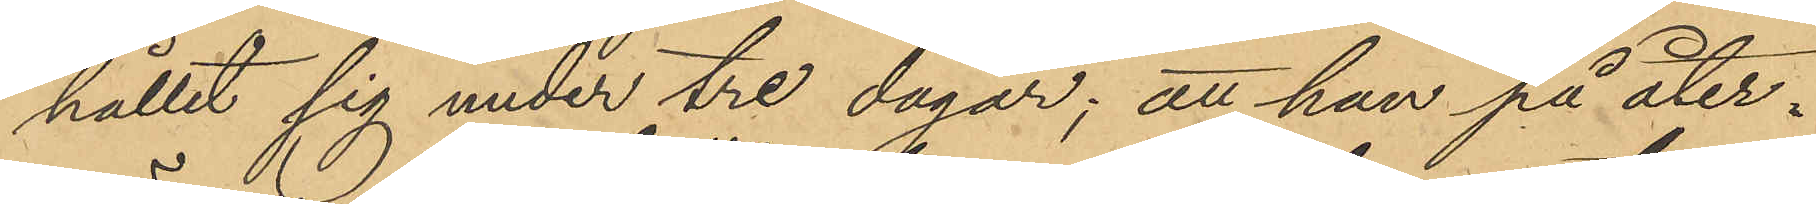hållit sig under tre dagar; att han på åter¬
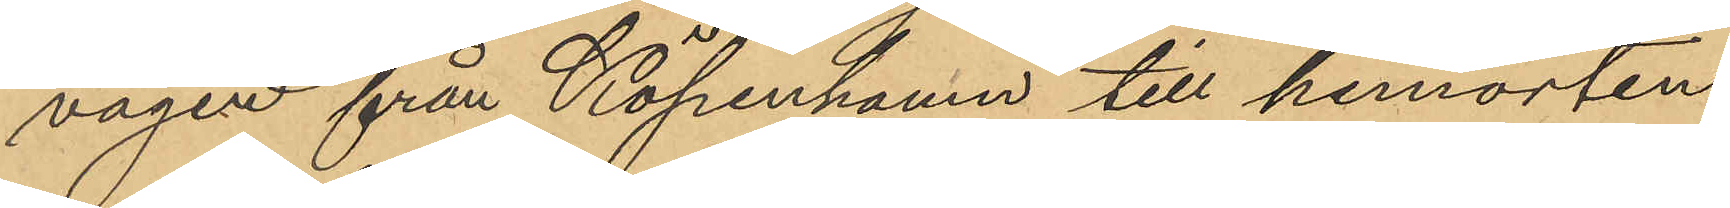vägen från Köpenhamn till hemorten
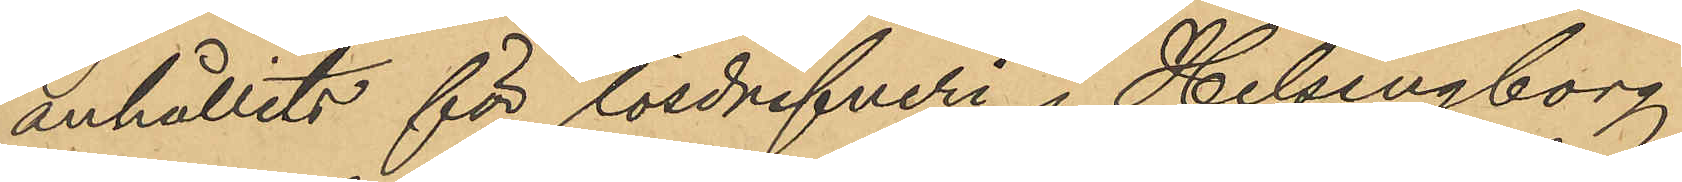anhållits för lösdrifveri i Helsingborg
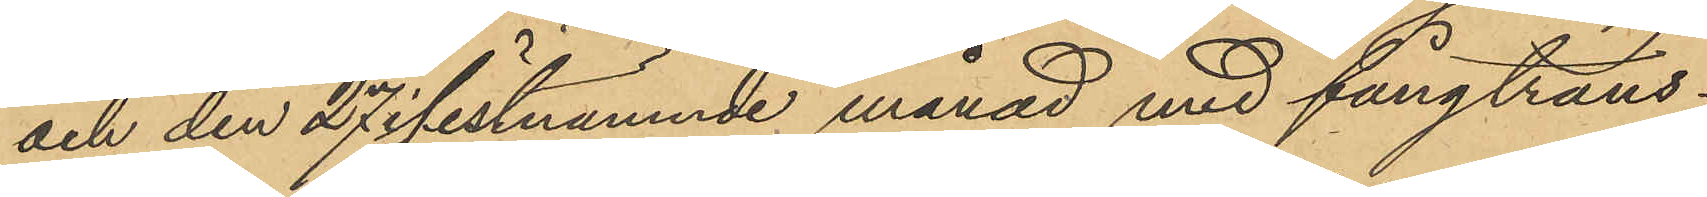och den 27 sistnämnde månad med fångtrans¬
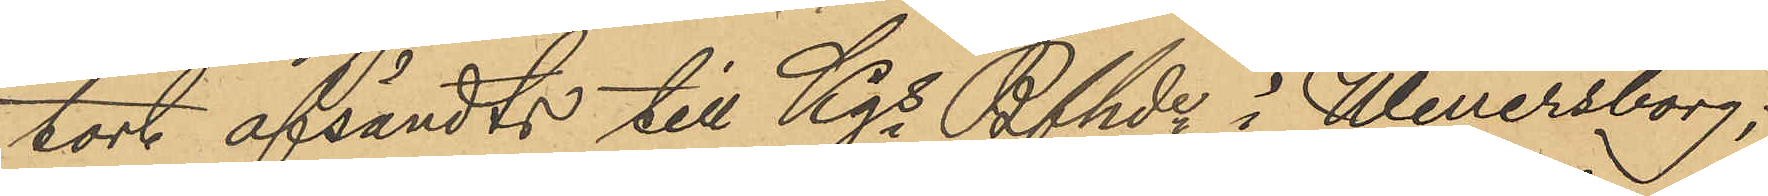port afsändts till Kgs Bfhde i Wenersborg;
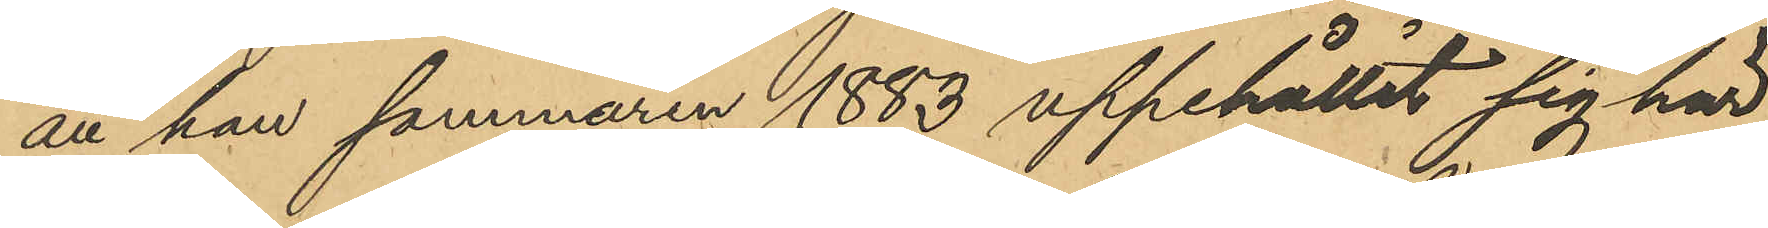att han sommaren 1883 uppehållit sig här
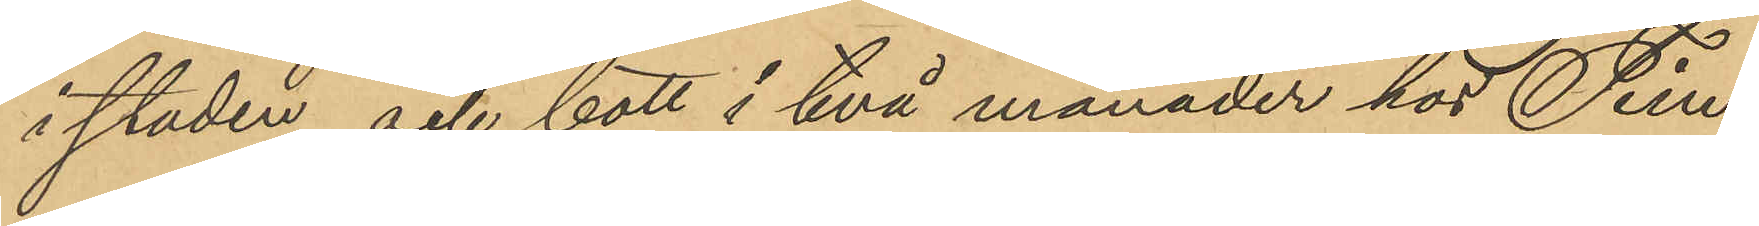i staden och bott i två månader hos Tim¬
